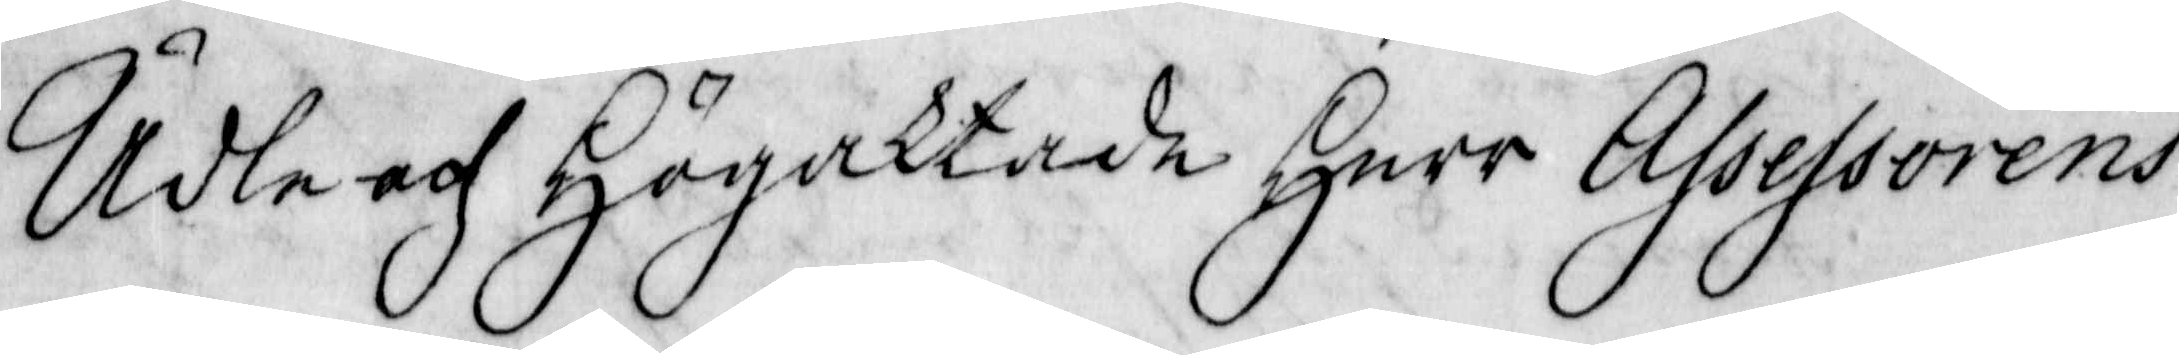Ädle och Högaktade Herr Assessorens
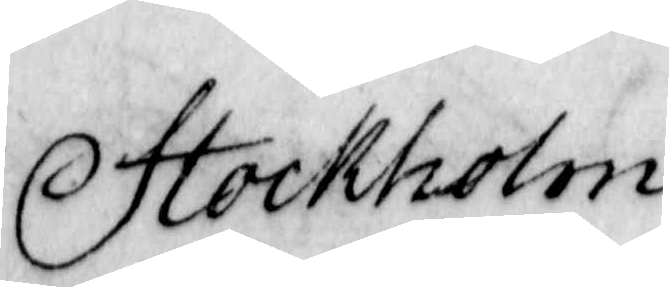Stockholm
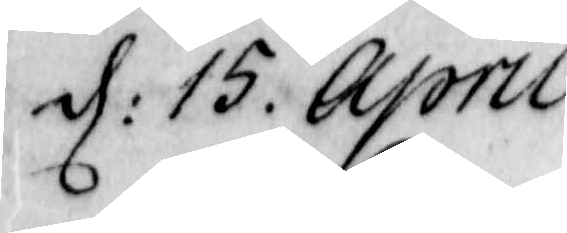d: 15. April
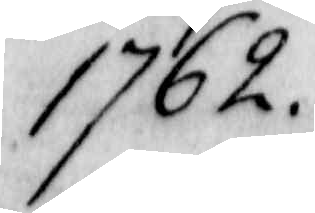1762.
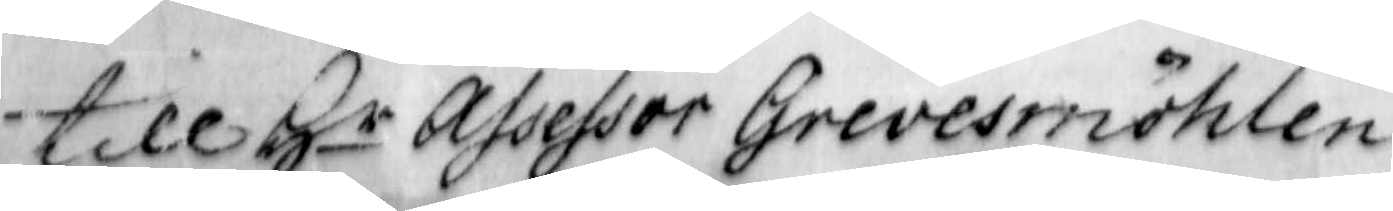till Hr assesor Grevesmöhlen
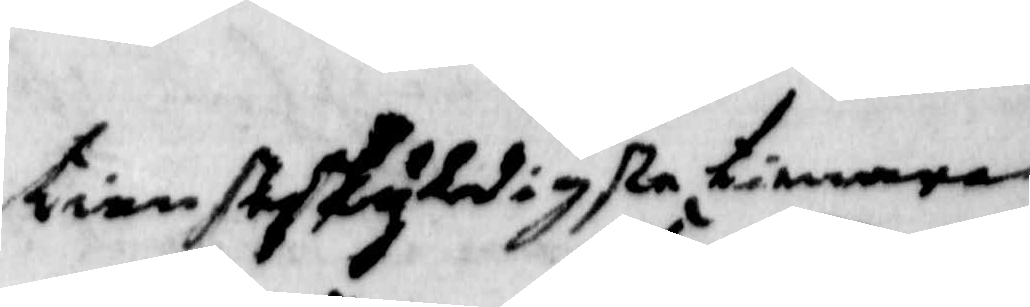tiensskyldiste tienare
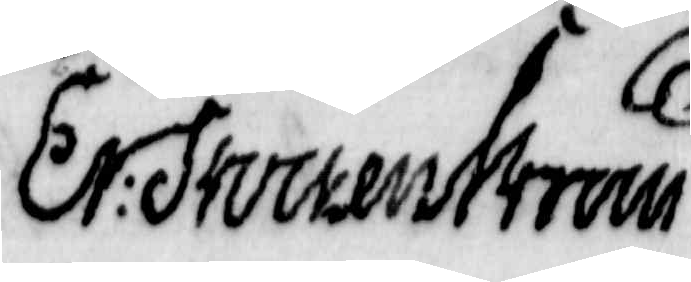Er: Stockenström
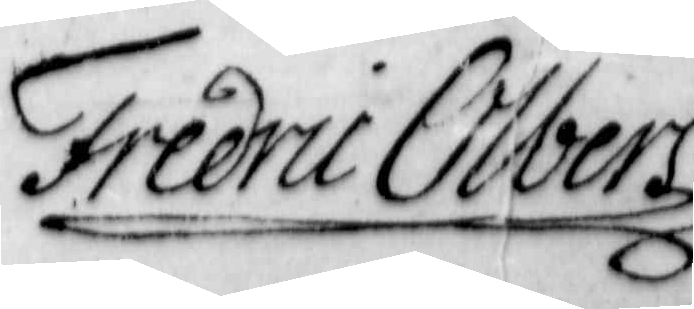Fredric Olbers
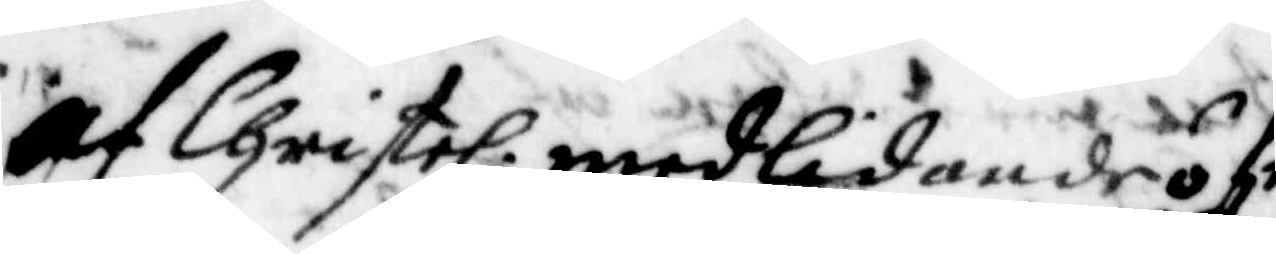af Christel: medlidande öfr
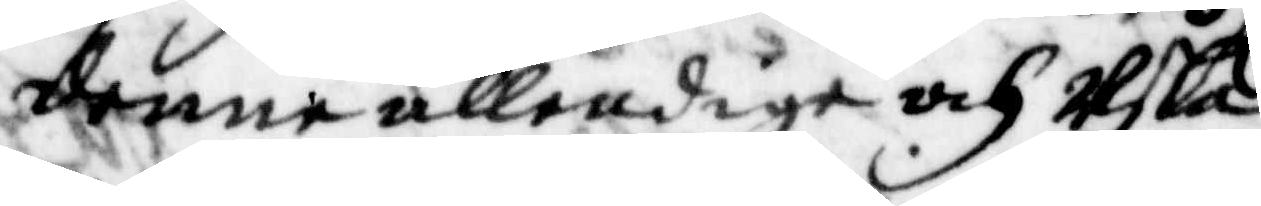denne ällendige och Usla
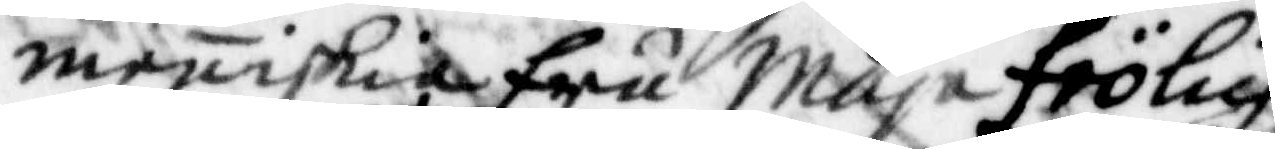meniskia fru Maja frölich
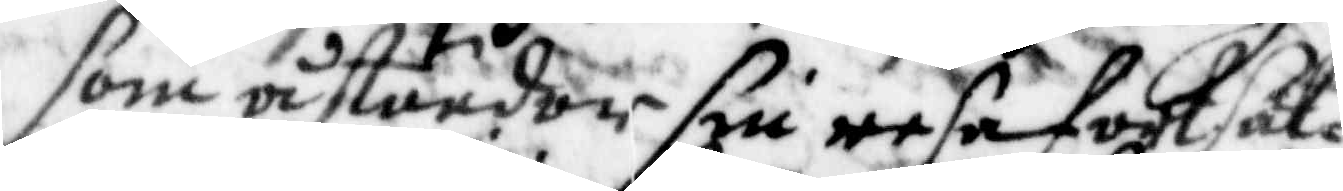som åstundar sin resa fortsät¬
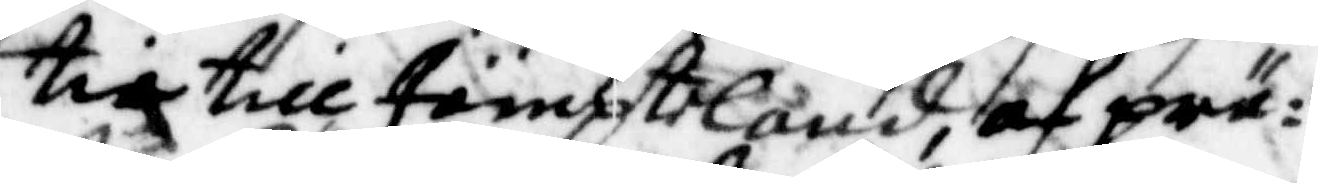tia till Jämpteland, af prä¬
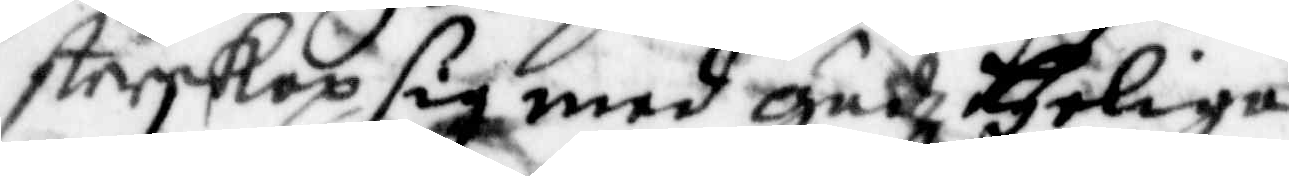sterskap sig med Gudh Heliga
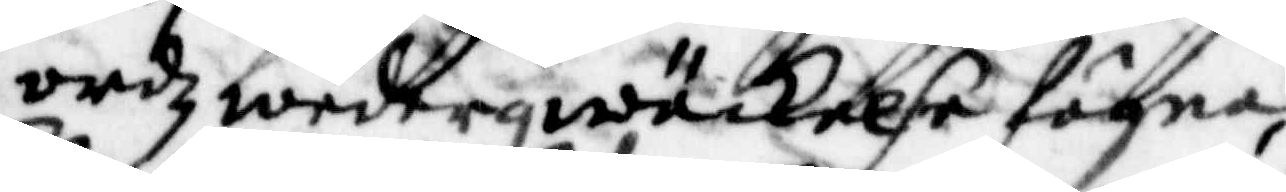ordz wederqwäckelse högna,
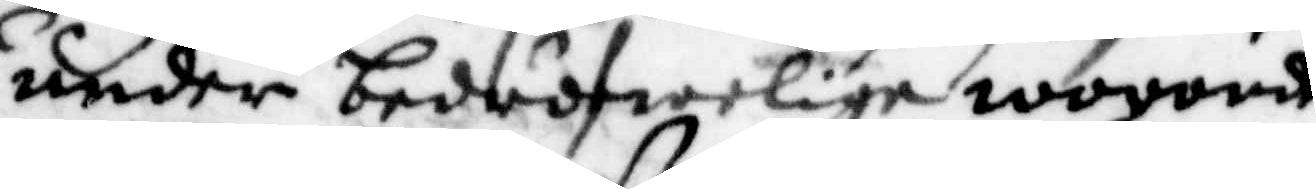under bedröfwelige woroud
